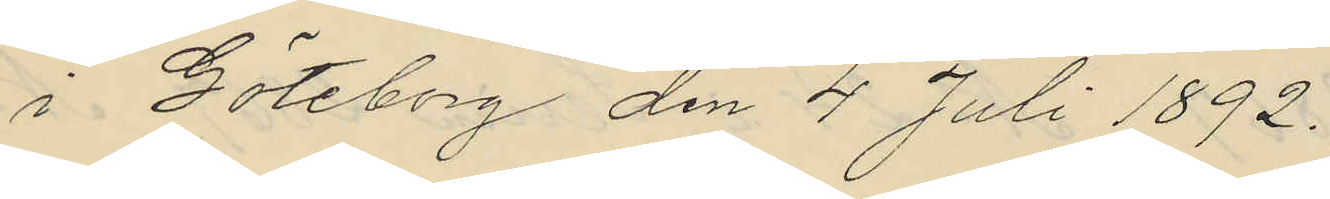i Göteborg den 4 Juli 1892.
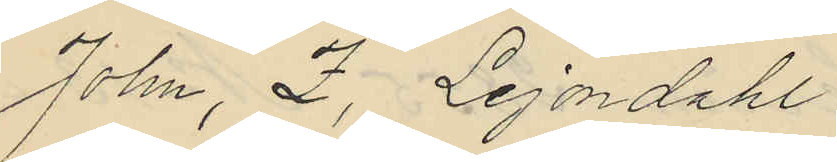John, Z, Lejondahl
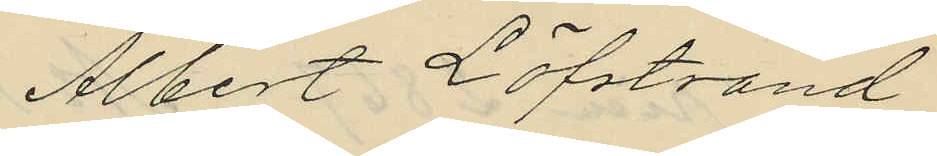Albert Löfstrand
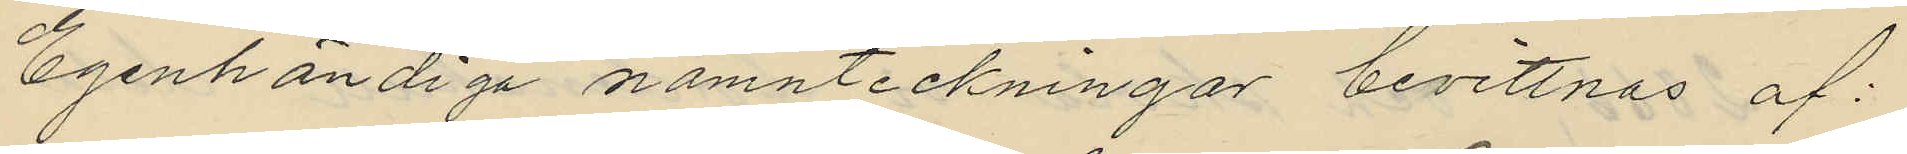Egenhändiga namnteckningar bevittnas af:
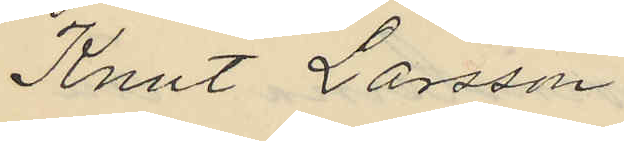Knut Larsson
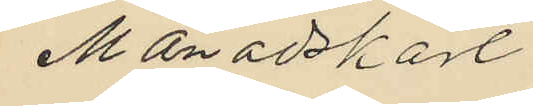Månadskarl
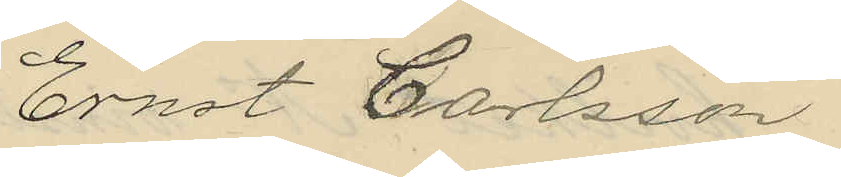Ernst Carlsson
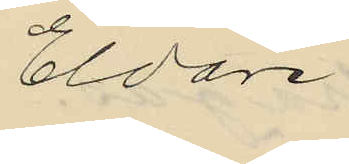Eldare
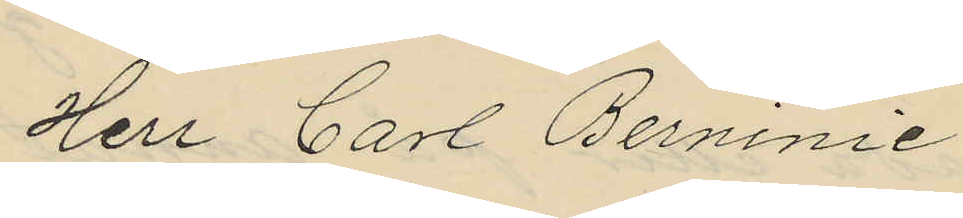Herr Carl Berninie
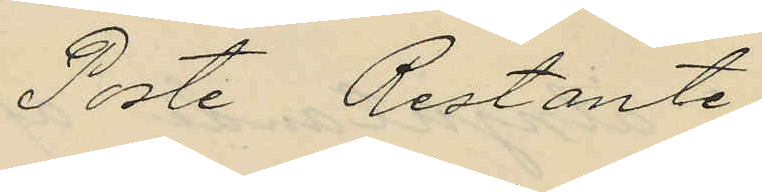Poste Restante
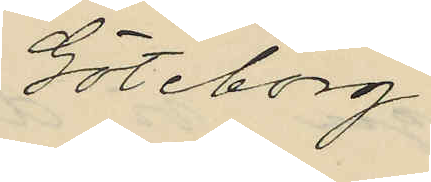Göteborg
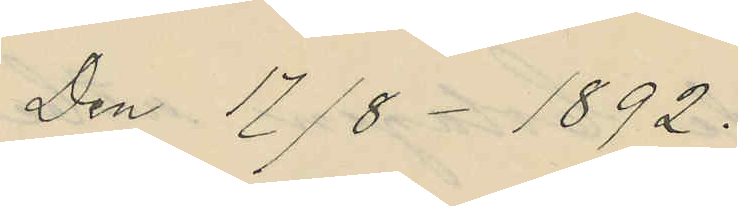Den 17/8 1892.
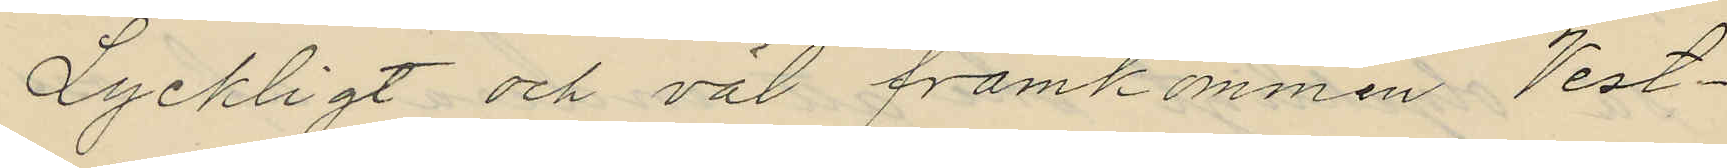Lyckligt och väl framkommen Vest¬
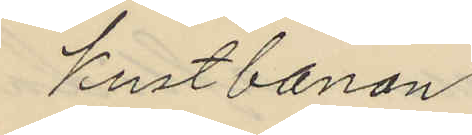kustbanan
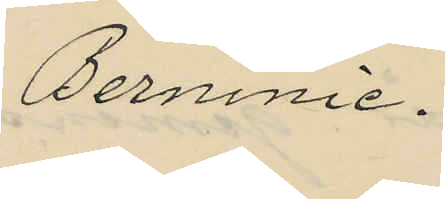Berninie.
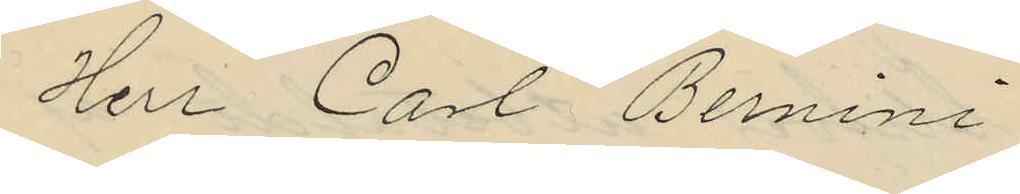Herr Carl Bernini
